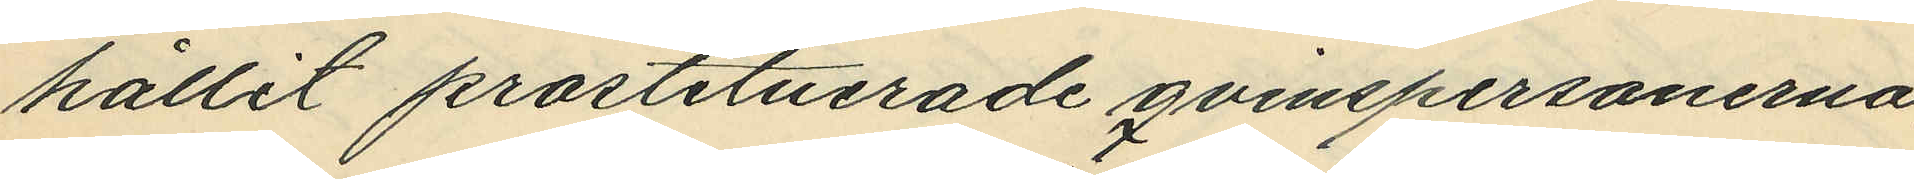hållit prostituerade qvinspersonerna,
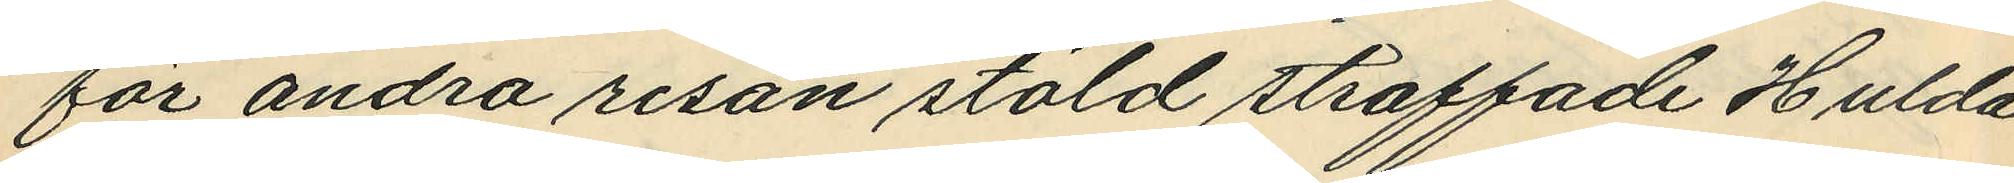för andra resan stöld straffade Hulda
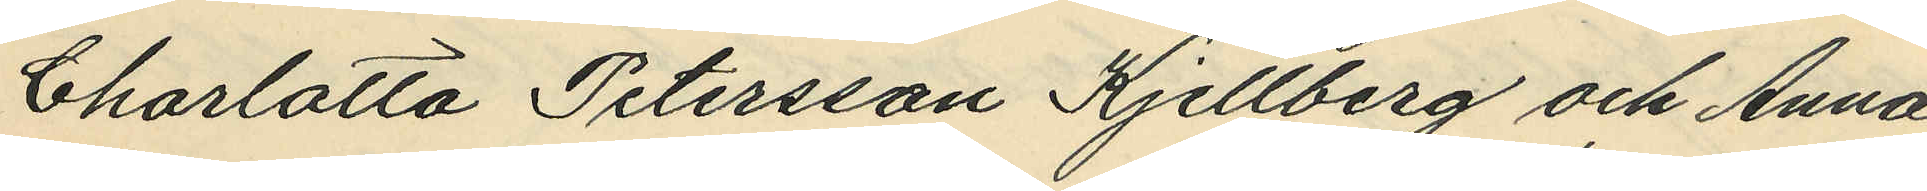Charlotta Petersson Kjellberg och Anna
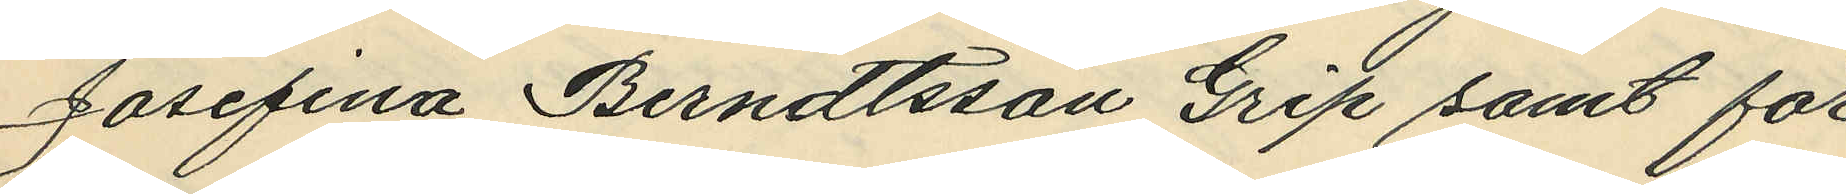Josefina Berndtsson Grip samt för
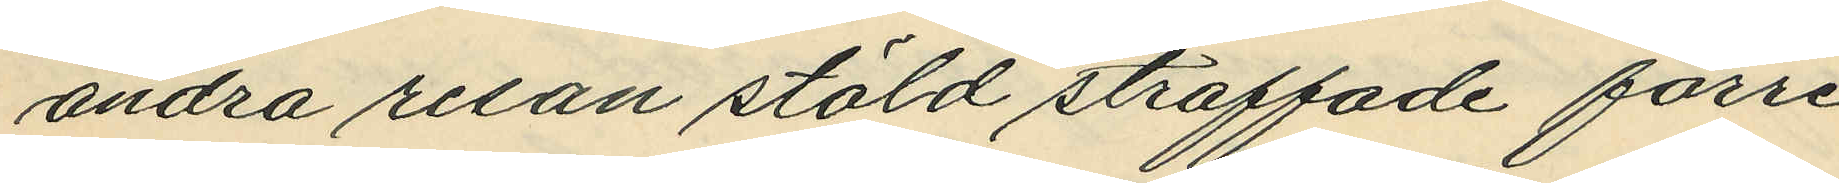andra resan stöld straffade förre
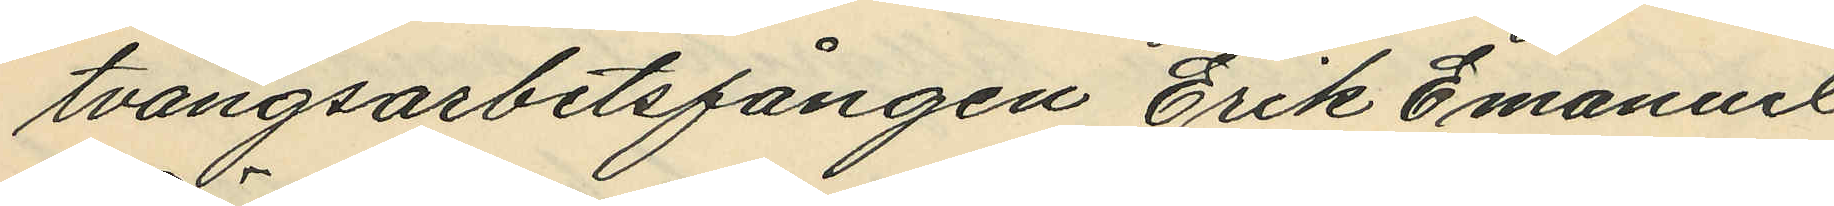tvångsarbetsfången Erik Emanuel
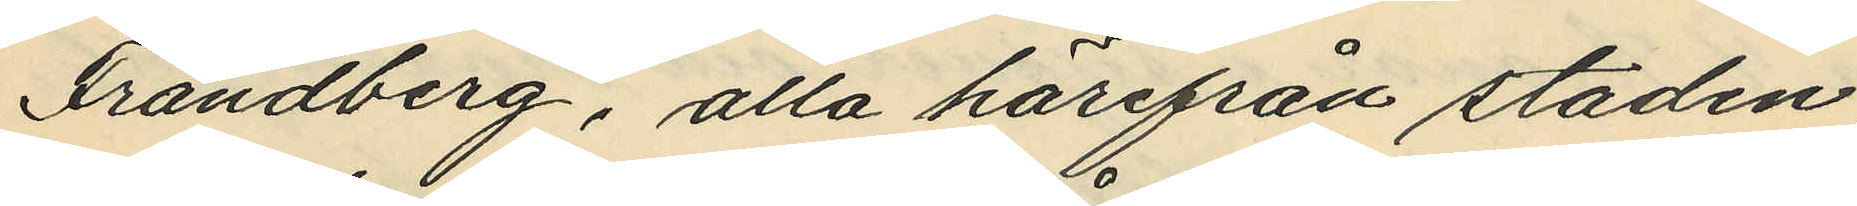Frändberg, alla härifrån staden
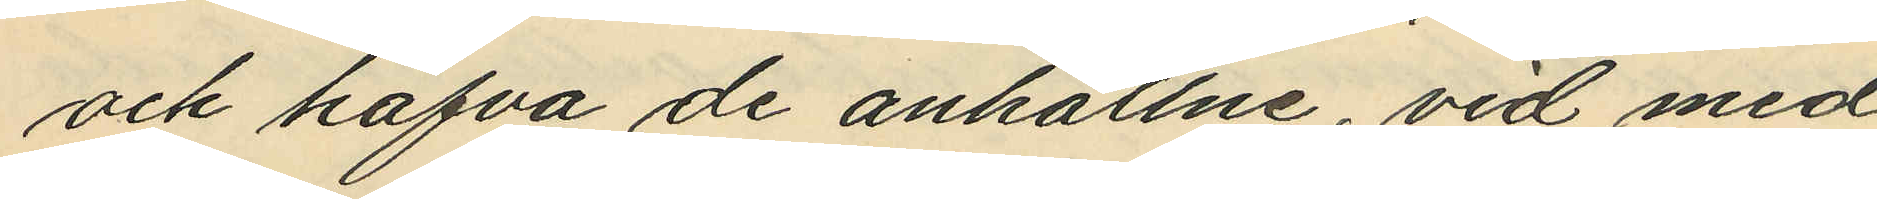och hafva de anhållne, vid med
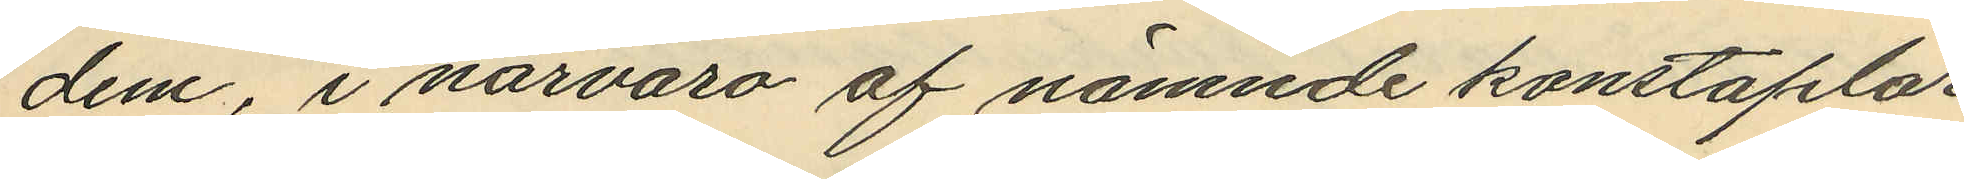dem, i närvaro af nämnde konstaplar
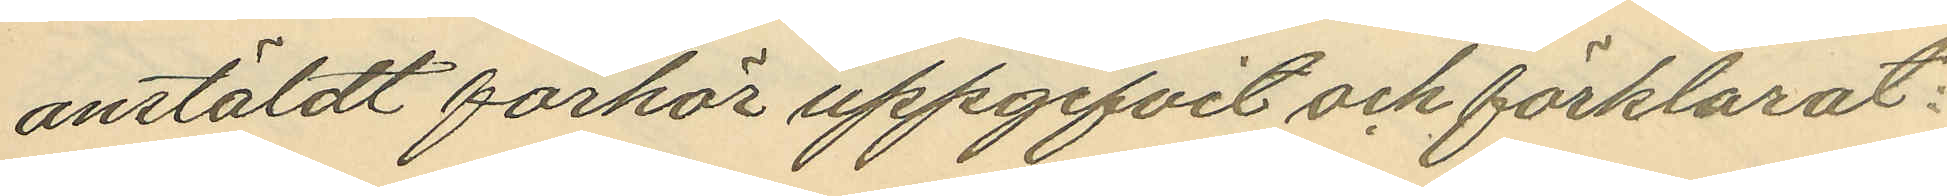anstäldt förhör uppgifvit och förklarat:
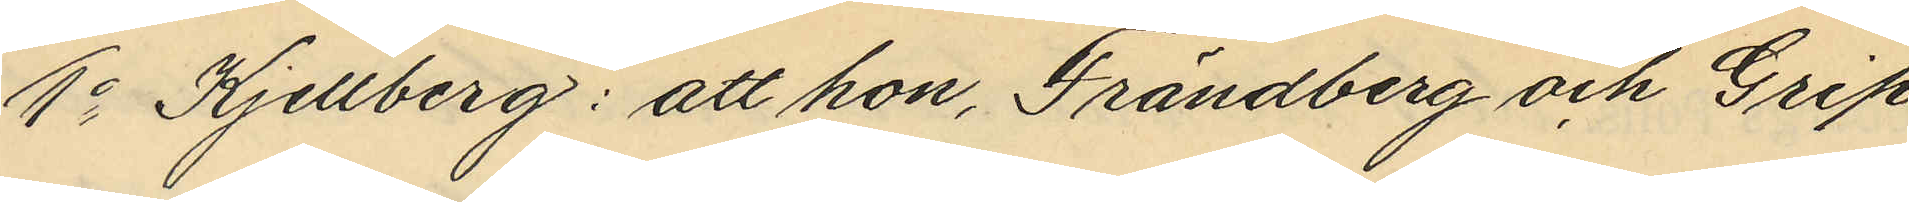1o Kjellberg: att hon, Frändberg och Grip
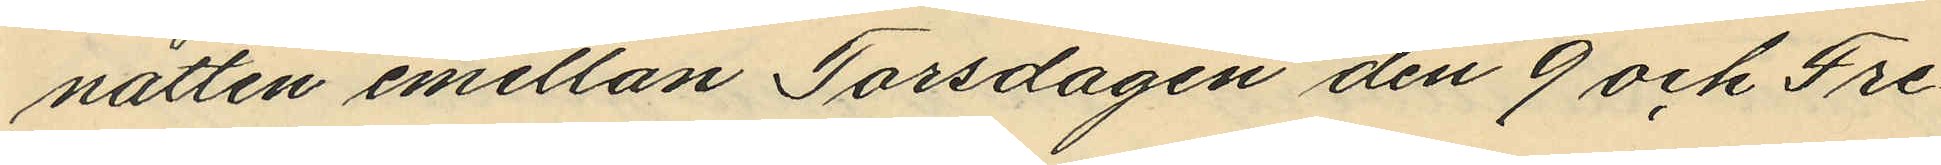natten emellan Torsdagen den 9 och Fre¬
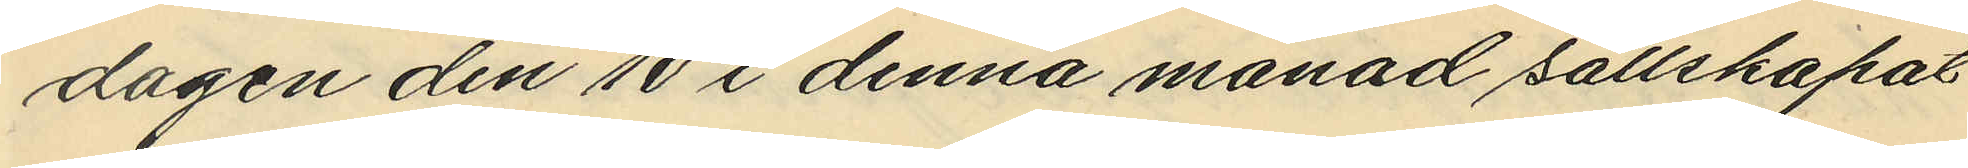dagen den 10 i denna månad sallskapat
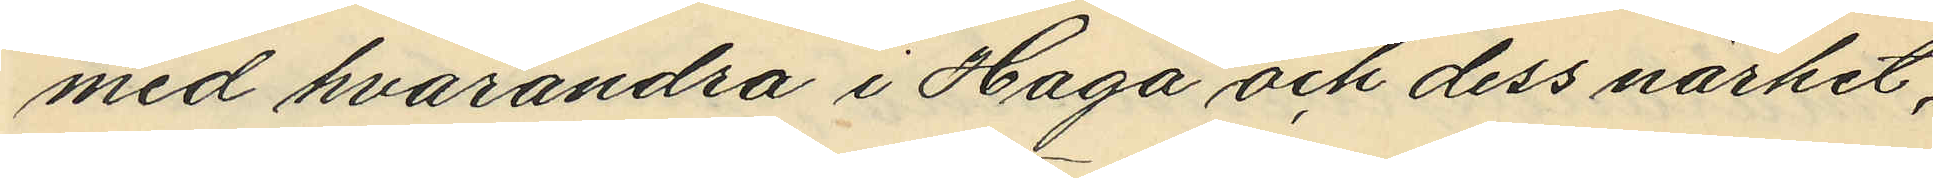med hvarandra i Haga och dess närhet;
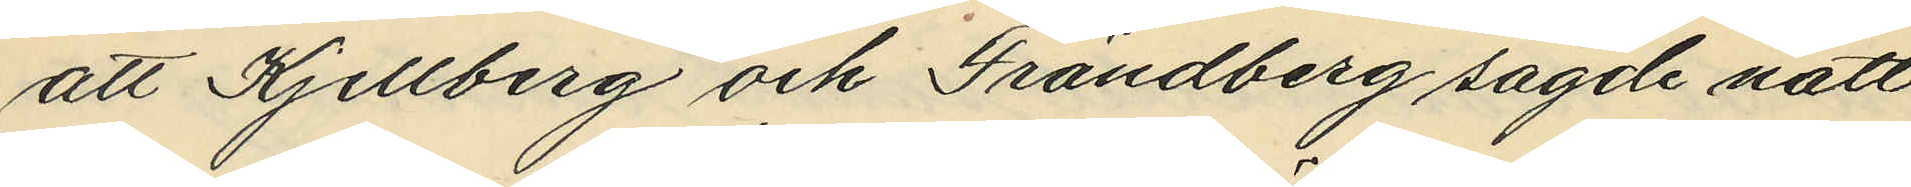att Kjellberg och Frändberg sagde natt
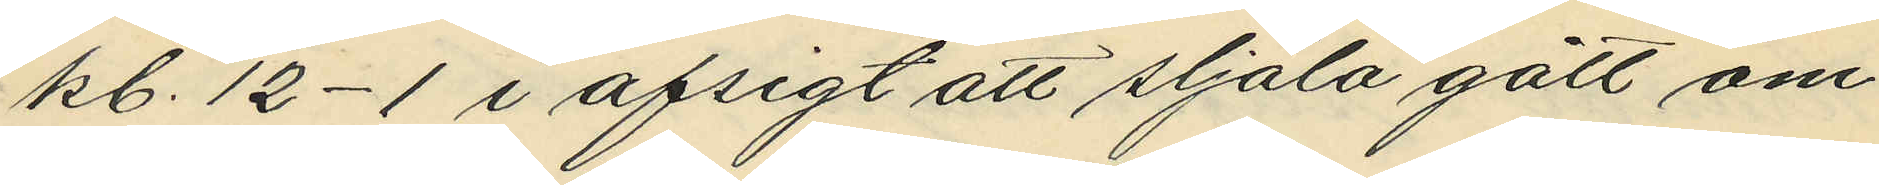kl. 12-1 i afsigt att stjäla gått om¬
